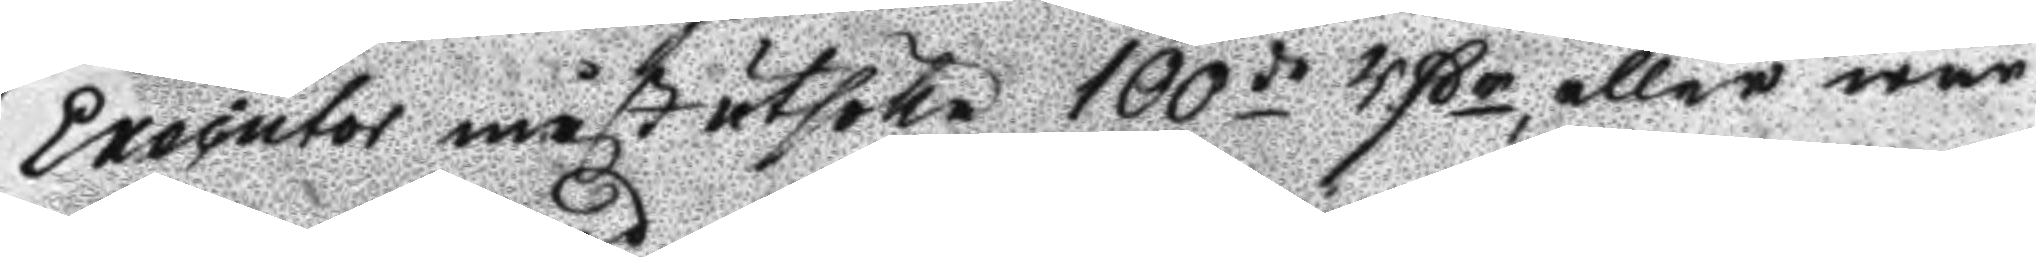Exequtor måst utsöka 100de Rßr, eller war
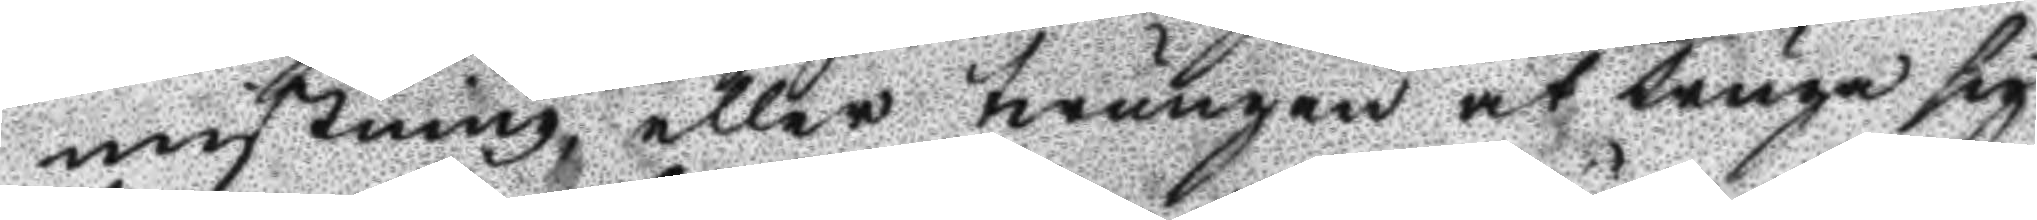mistning, eller twungen at truga sig
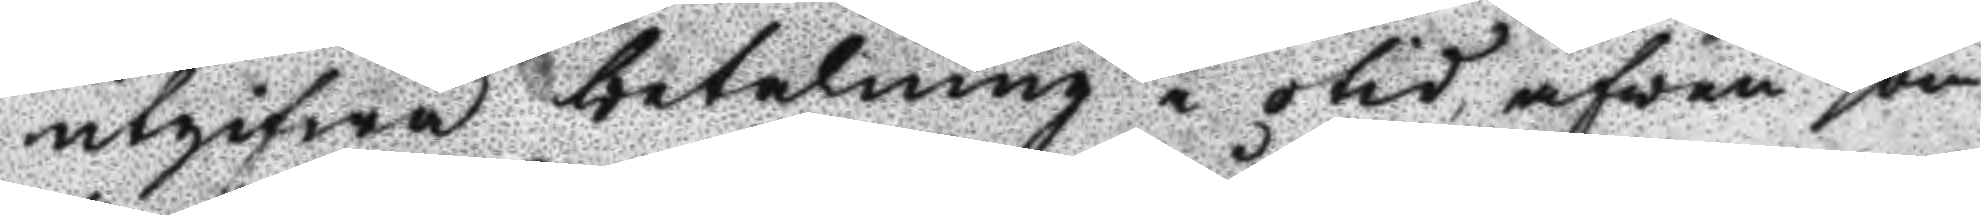utgifwa betalning i otid äfwen som
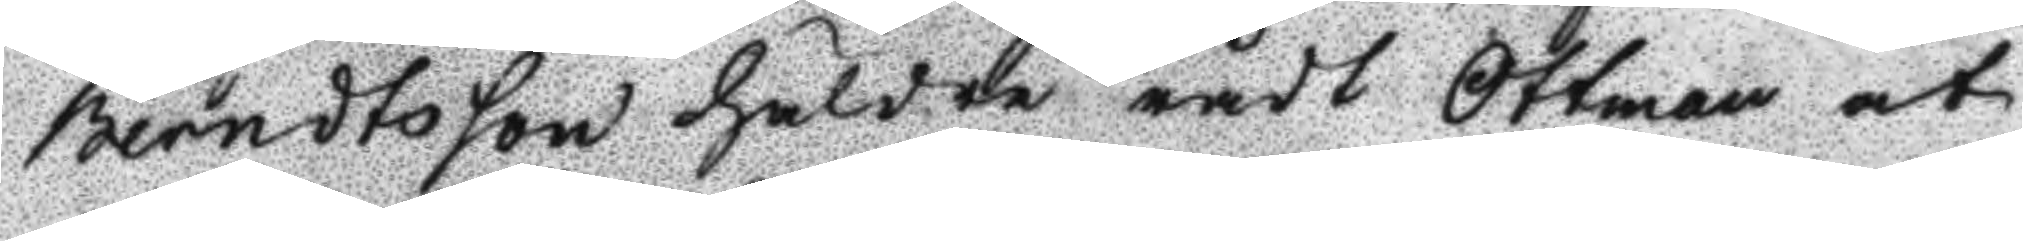Berndtsson häldre rådt Ottman at
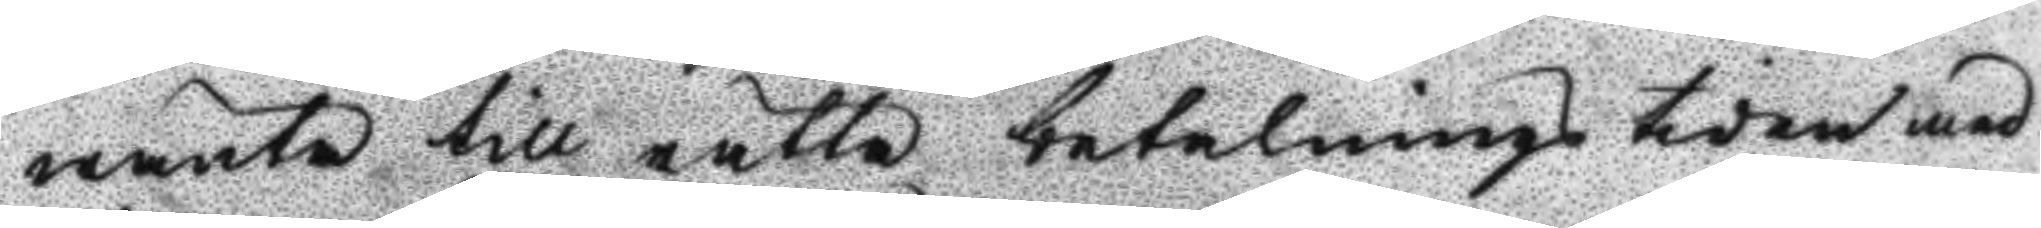wänta till rätta betalnings tiden med
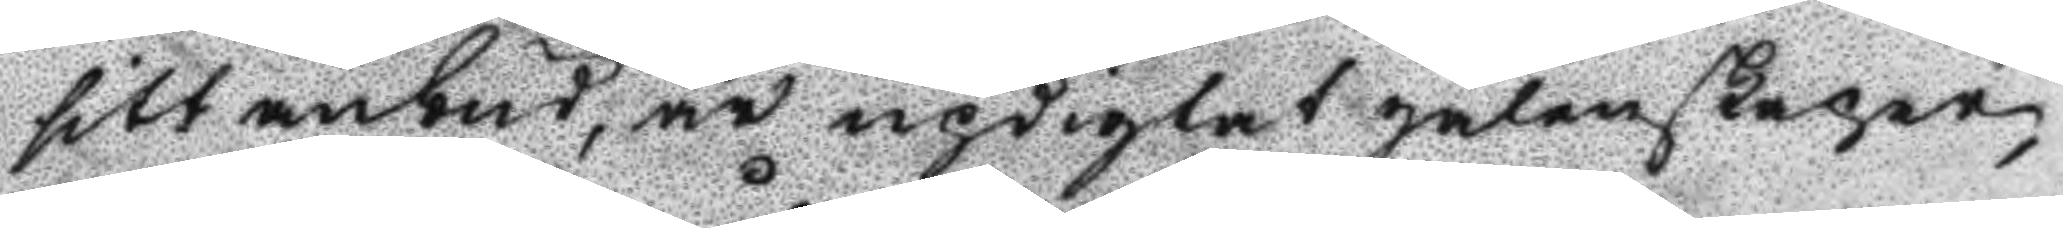sitt anbud, är updigtat galenskaper,
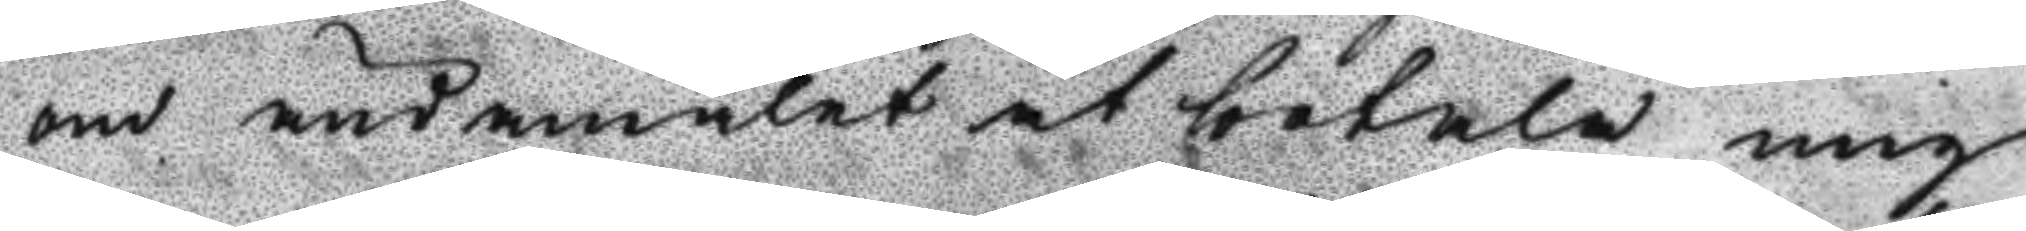om ändamålet at betala mig
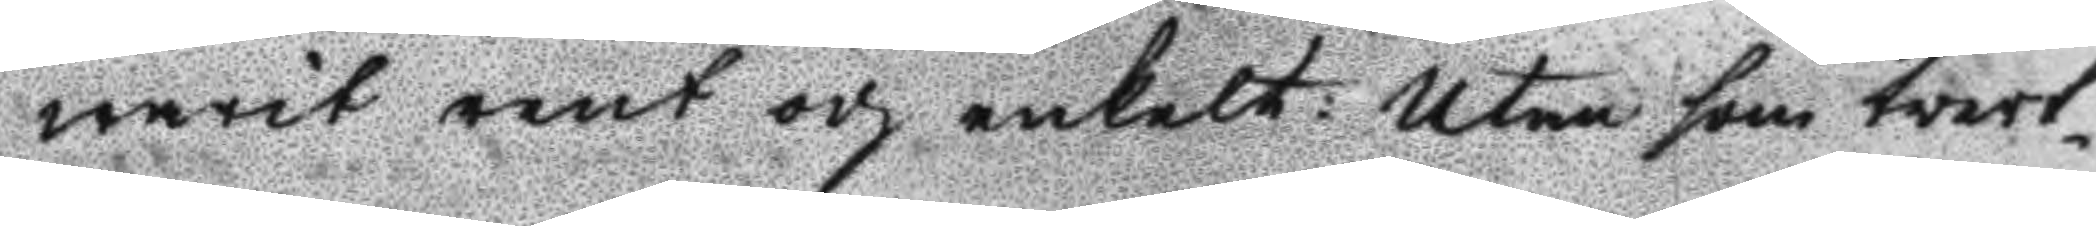warit rent och enkelt: utan som tvert¬
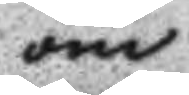om
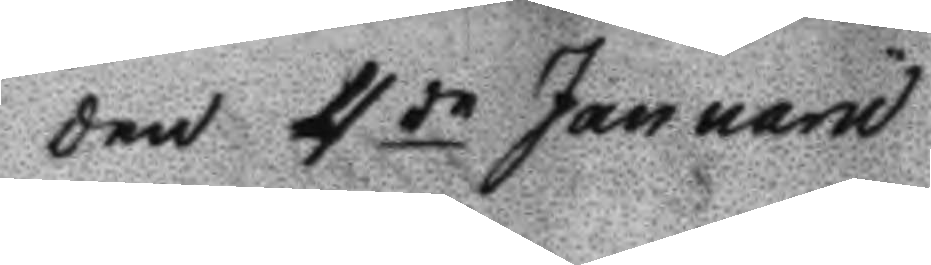den 4 de Januarii
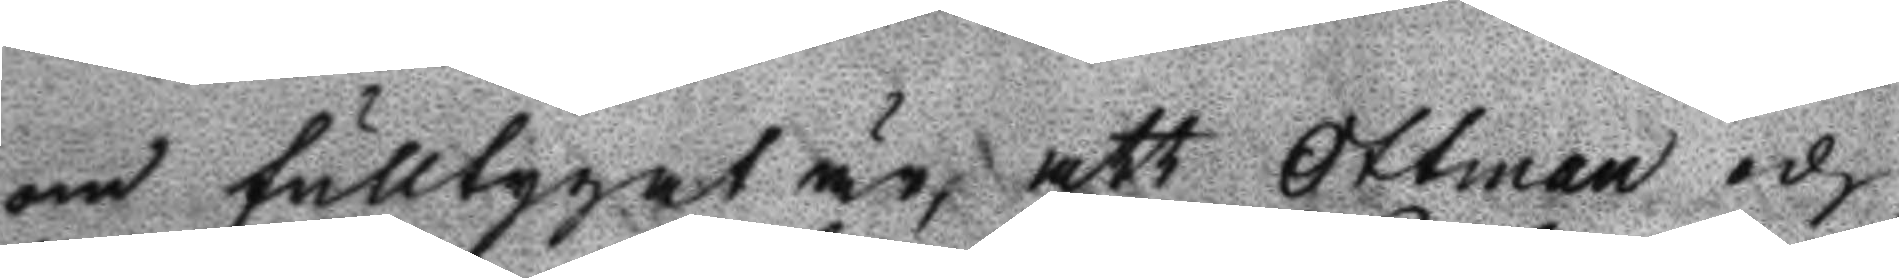om fulltygat är, att Ottman och
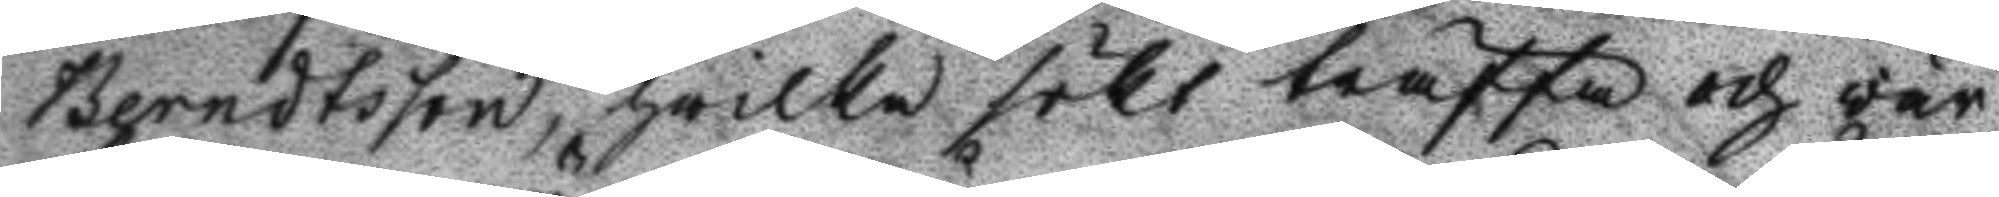Berndtsson, hwilka sökt träffa och vär
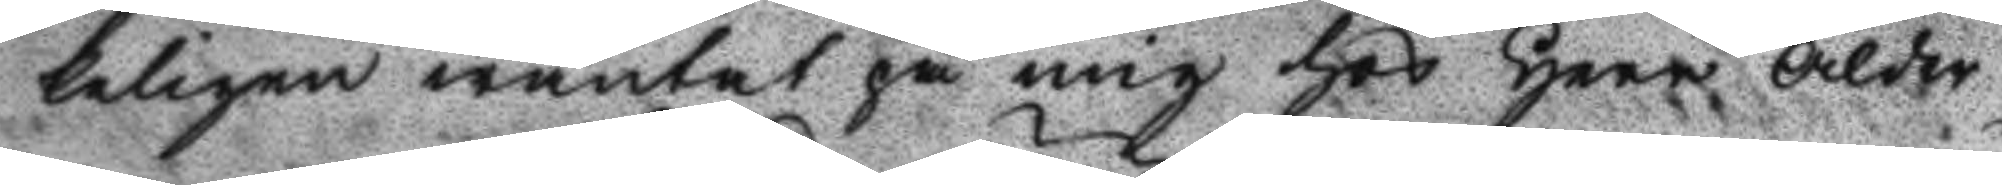keligen wäntat på mig hos herr ålder
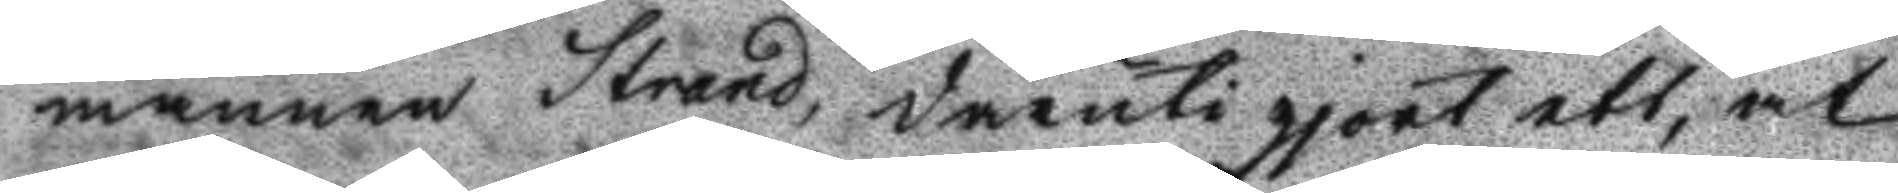mannen Strand, deruti gjort ett, at
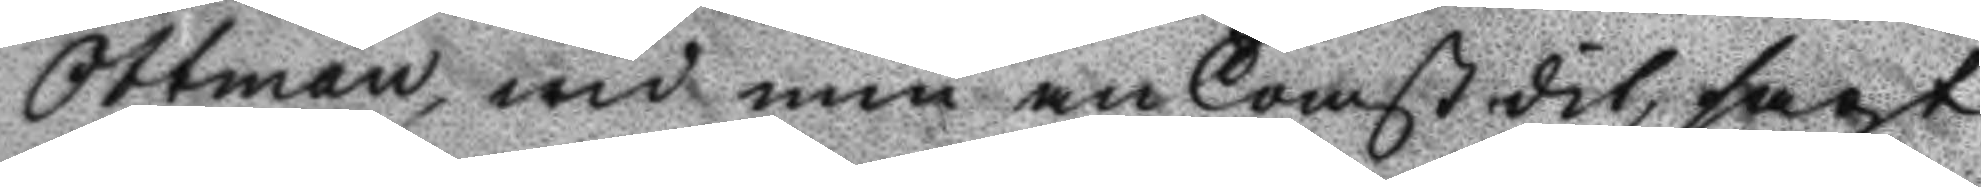Otterman, wid min ankomst dit, sagt
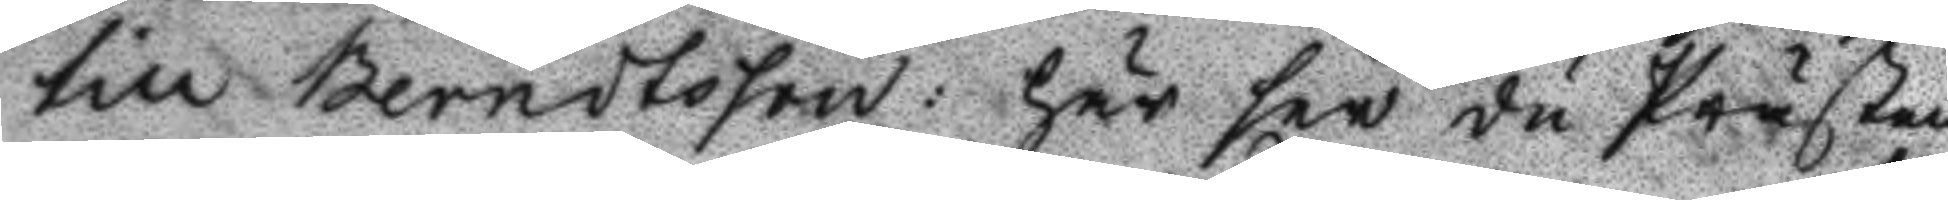till Berndtsson: här ser du Prästen,
